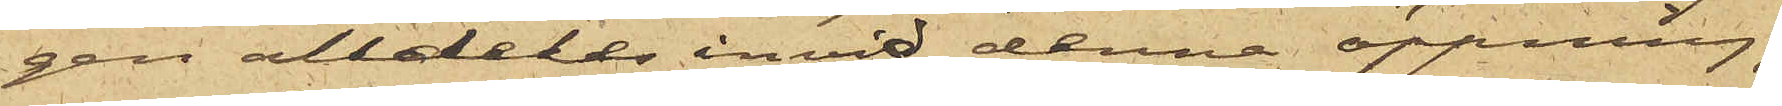gen alldeles invid denna öppning;
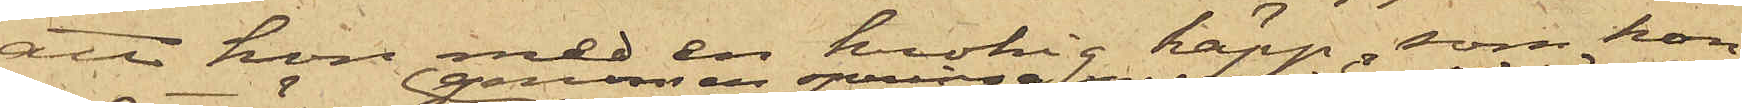att hon med en krokig käpp, som hon
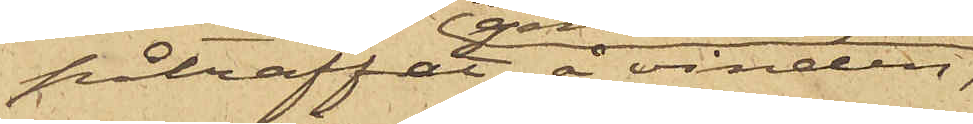påträffat å vinden,
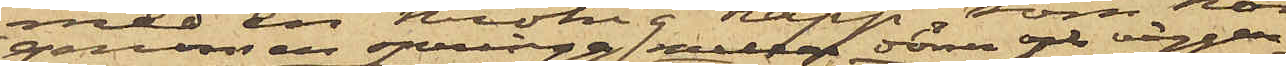genom en springa mellan dörren och väggen
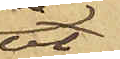ut¬
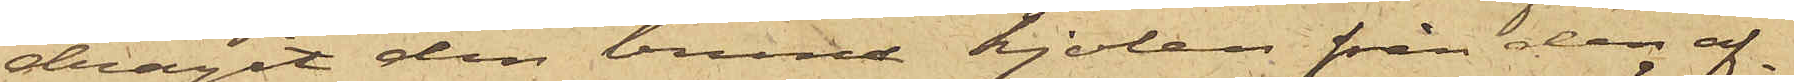dragit den bruna kjolen från den af¬
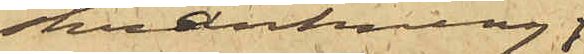skrankning,
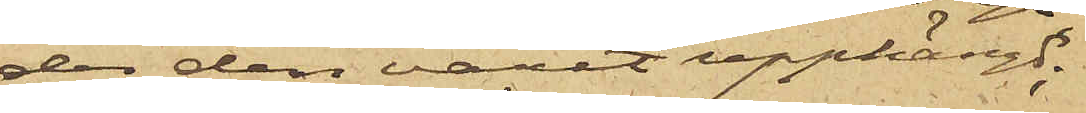der den varit upphängd;
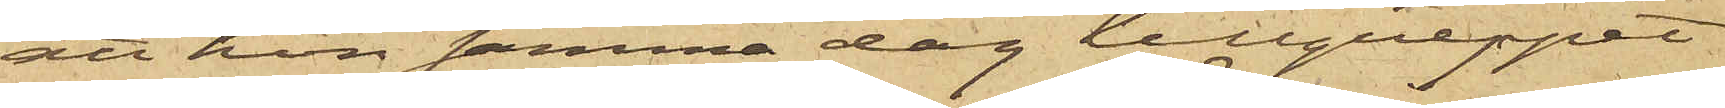att hon samma dag tillgreppet
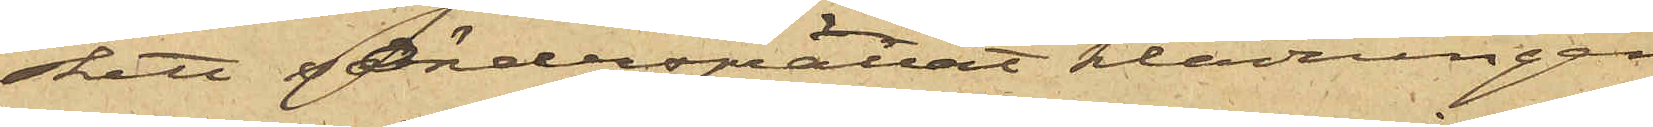skett, söndersprättat klädningen
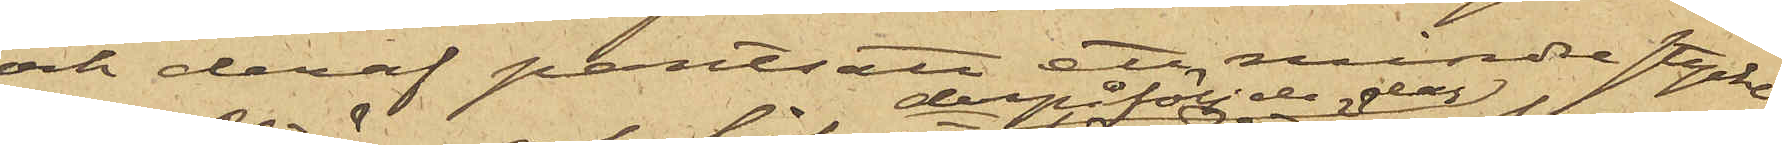och deraf pantsatt ett mindre stycke
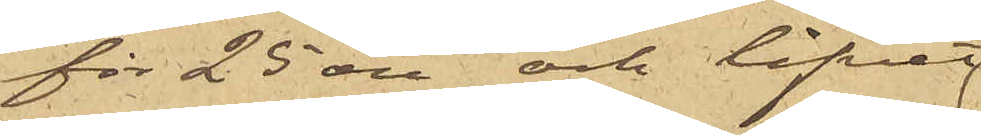för 25 öre och lifvet
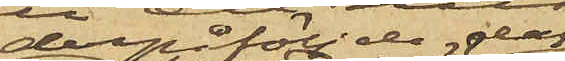derpåföljde dag
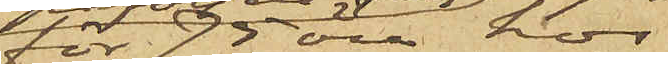för 75 öre hos
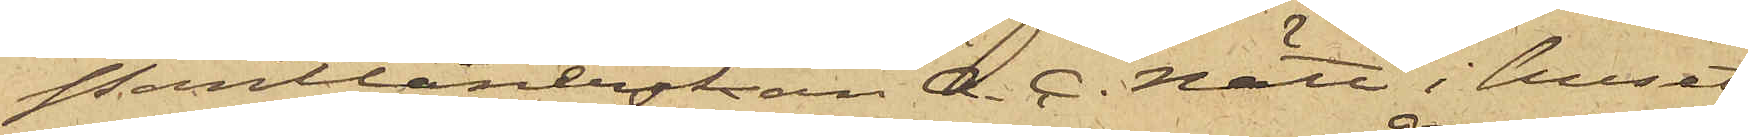Pantlånerskan A. C. Nätt i huset
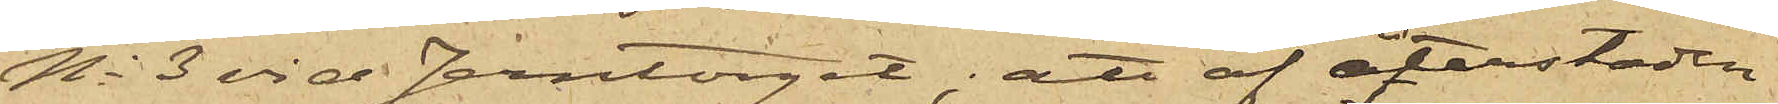No 3 vid Jerntorget; att af återstoden
